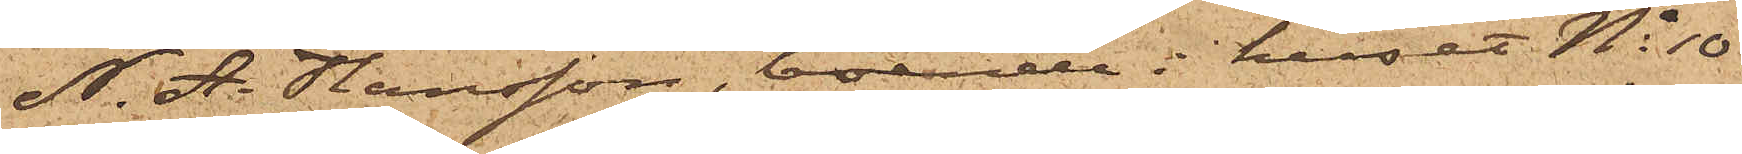N. A. Hansson, boende i huset No 10
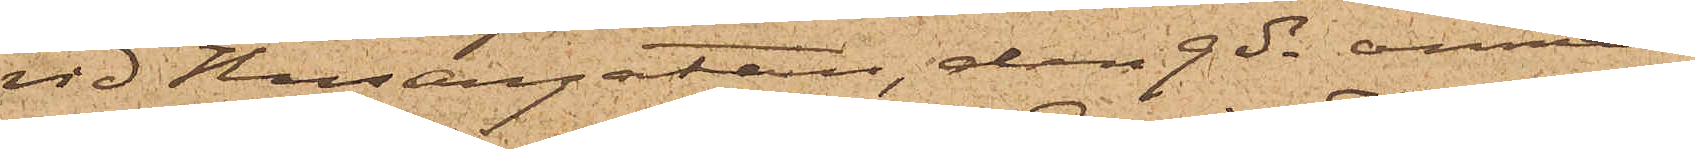vid Husargatan, den 9 ds anmält
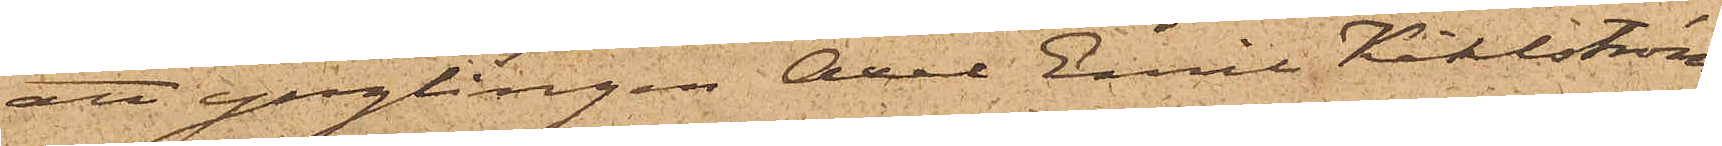att ynglingen Axel Emil Kihlström,
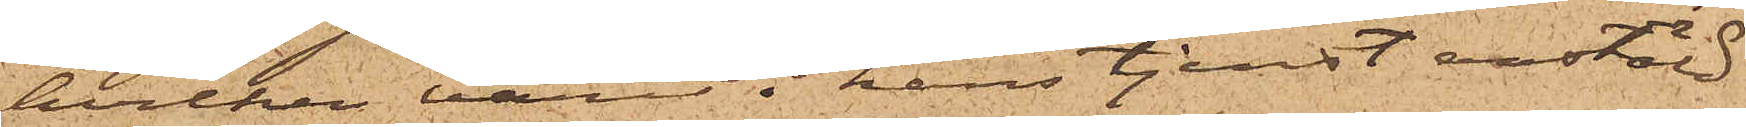hvilken varit i hans tjenst anstäld
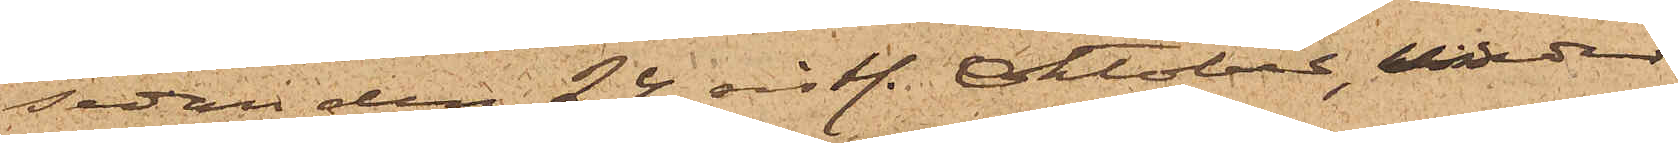sedan den 24 sistl. Oktober, under
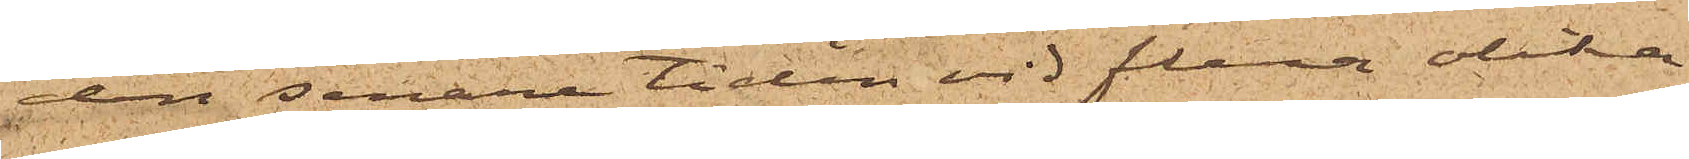den senare tiden vid flera olika
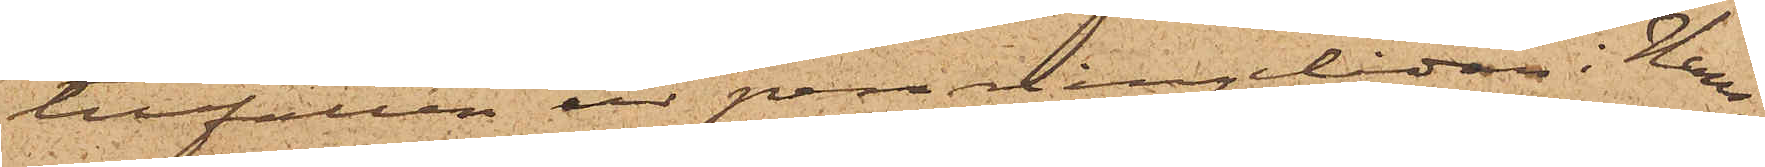tillfällen ur penningelådan i Hans¬
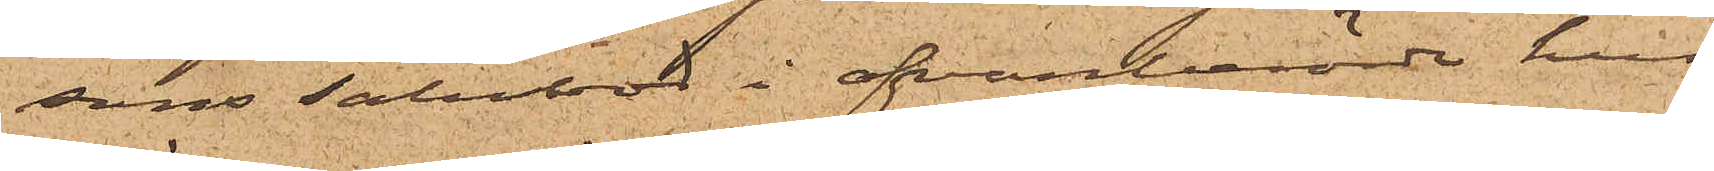sons Salubod i ofvanberörde hus
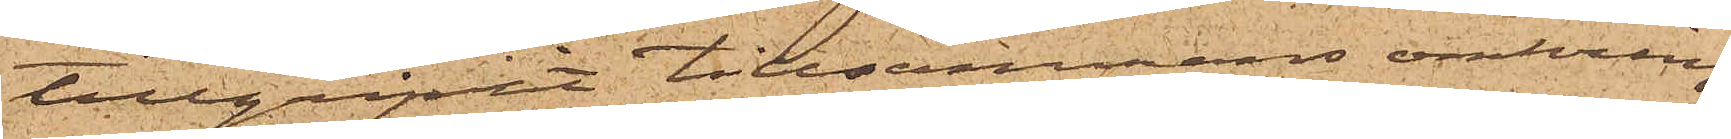tillgripit tillsammans omkring
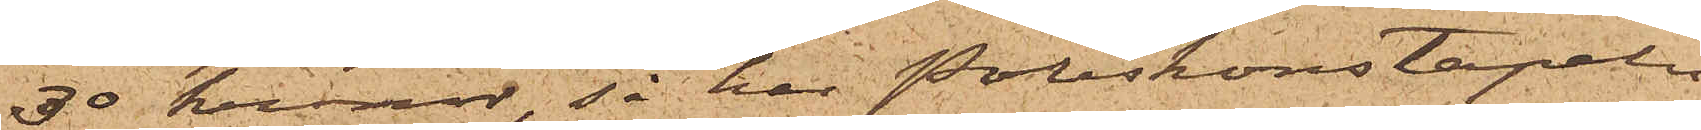30 kronor, så har Poliskonstapeln
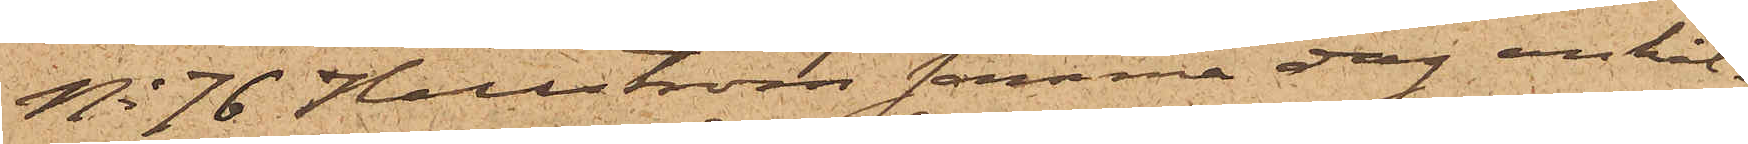No 76 Hallström samma dag anhål¬
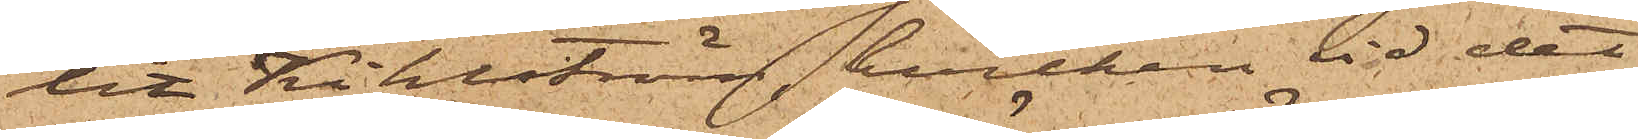lit Kihlström, hvilken vid det
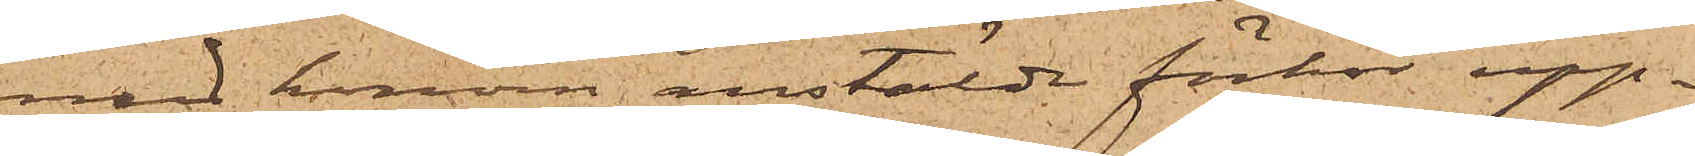med honom anstälde förhör upp¬
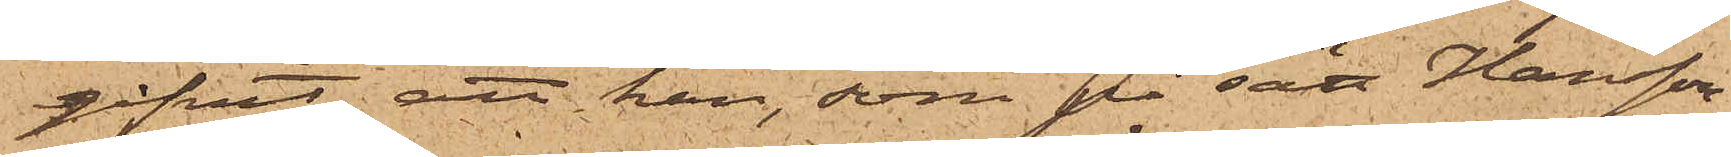gifvit, att han, som på sätt Hansson
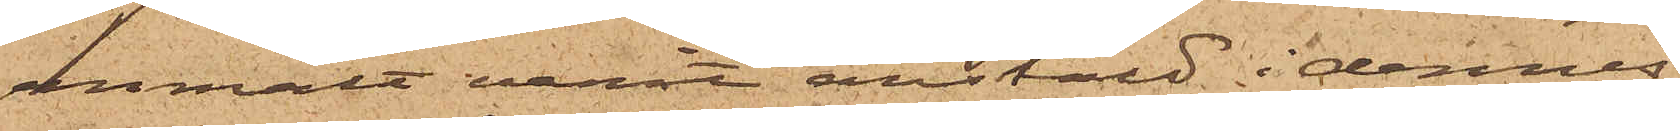anmält varit anstäld i dennes
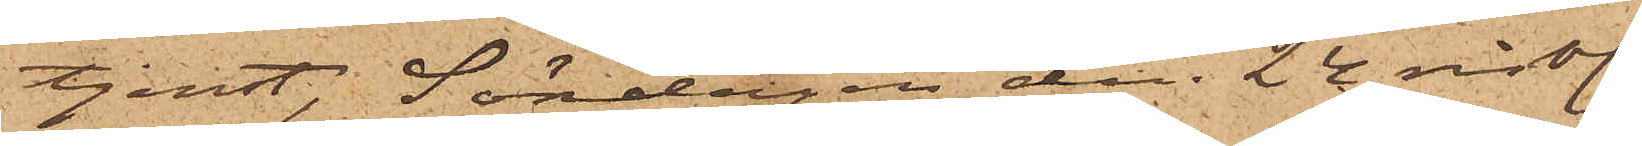tjenst, Söndagen den 24 sistl.
